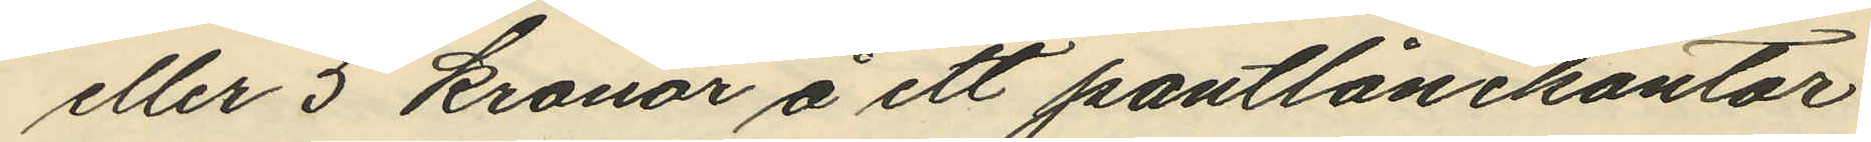eller 5 kronor å ett pantlånekontor
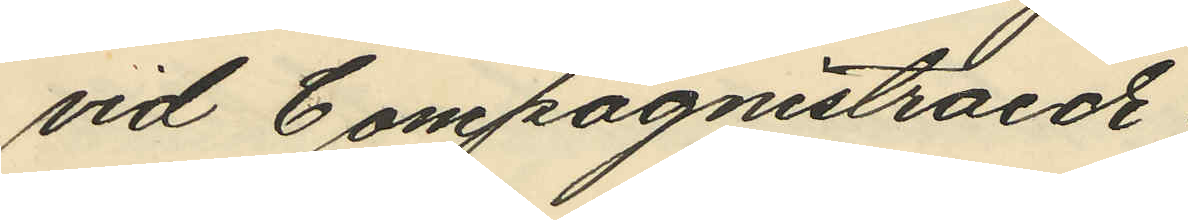vid Compagnistraede;
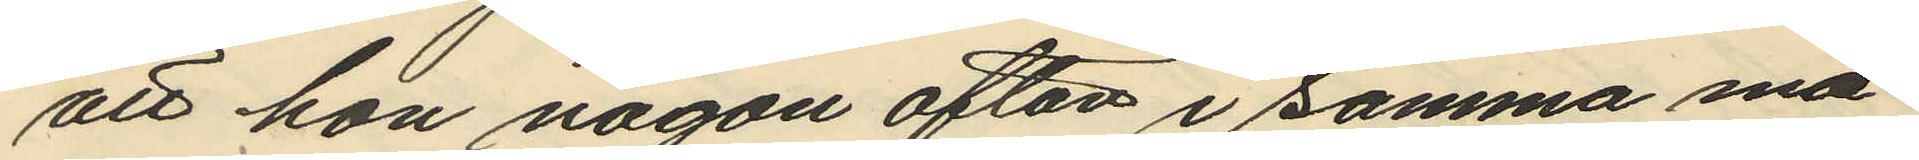att hon någon afton i samma må¬
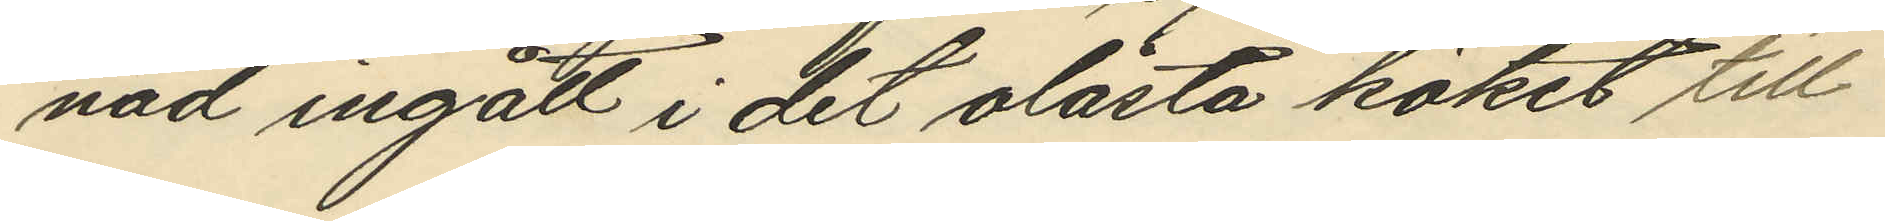nad ingått i det olåsta köket till
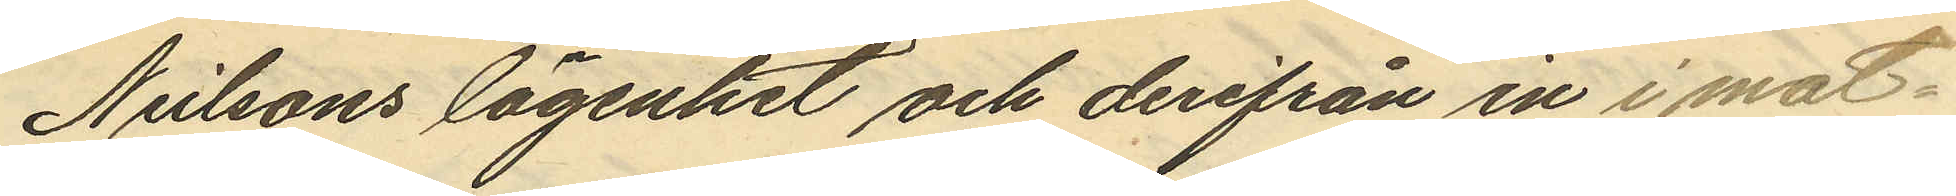Neilsons lägenhet och derifrån in i mat¬
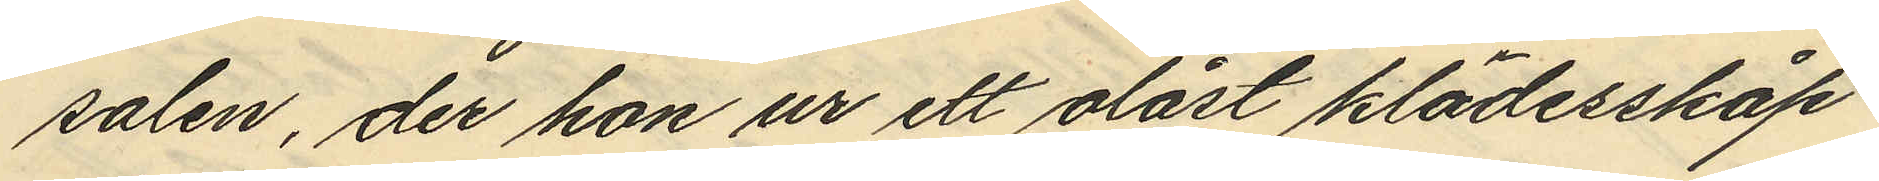salen, der hon ur ett olåst klädesskåp
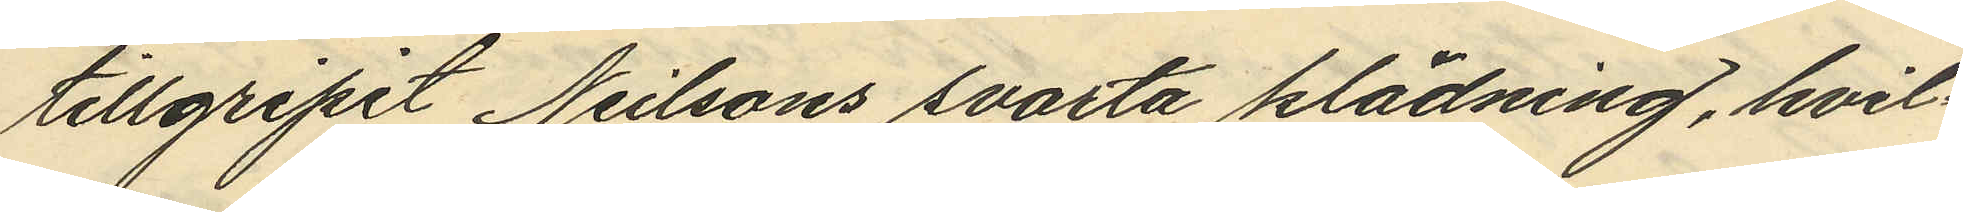tillgripit Neilsons svarta klädning, hvil¬
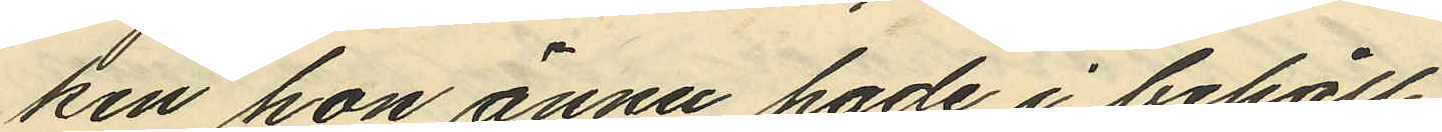ken hon ännu hade i behåll;
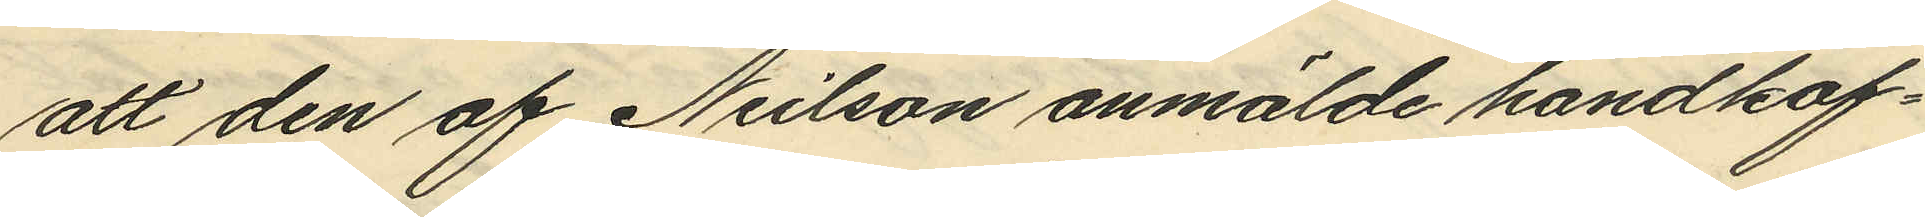att den af Neilson anmälde handkof¬
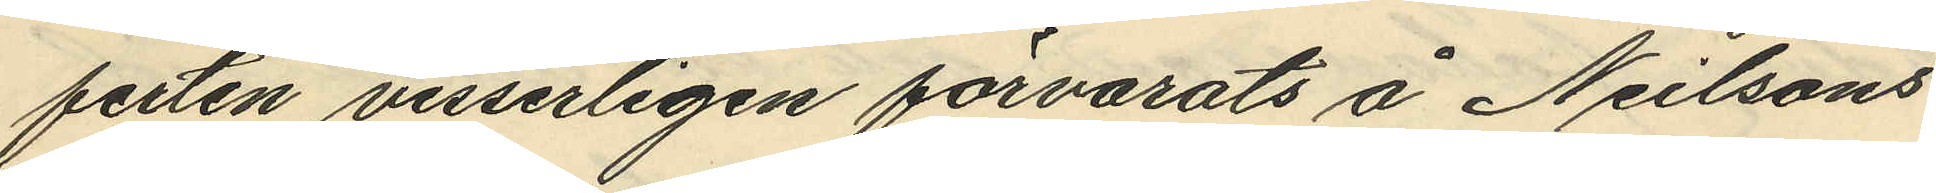ferten visserligen förvarats å Neilsons
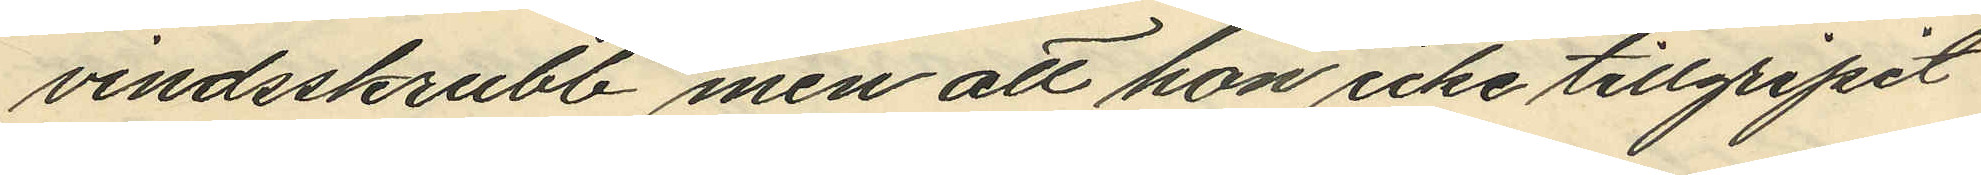vindsskrubb, men att hon icke tillgripit
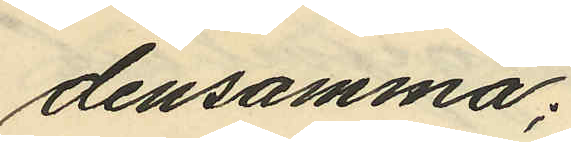densamma;
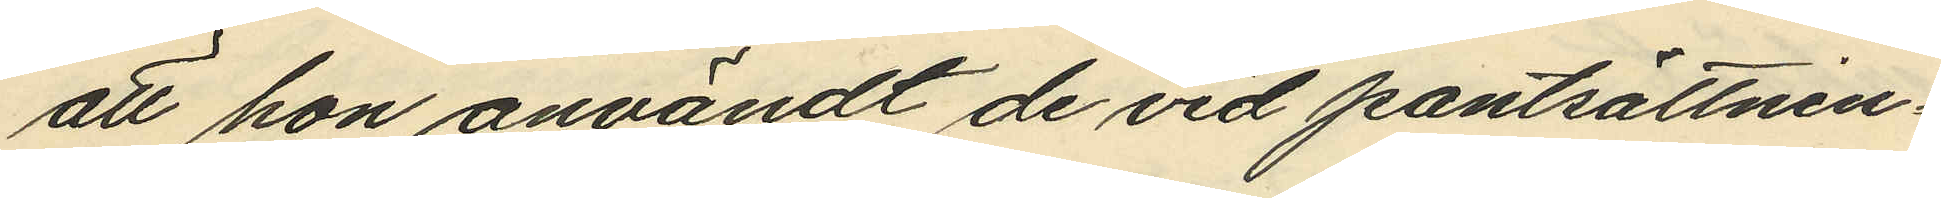att hon användt de vid pantsättnin¬
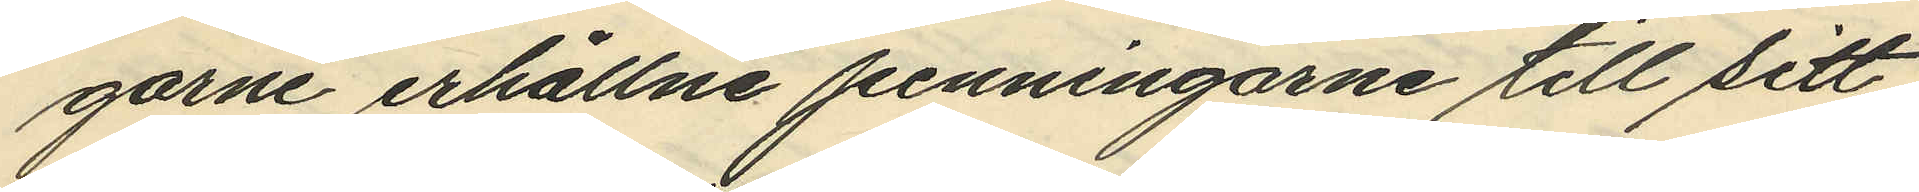garne erhållne penningarne till sitt
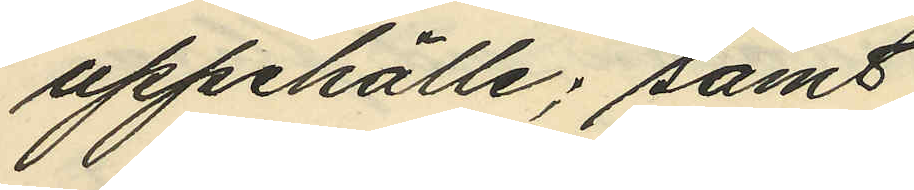uppehälle; samt
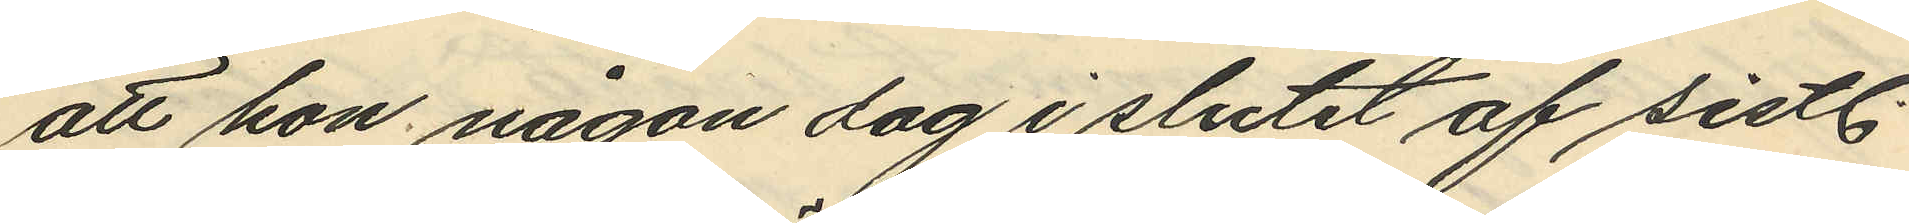att hon någon dag i slutet af sistl.
